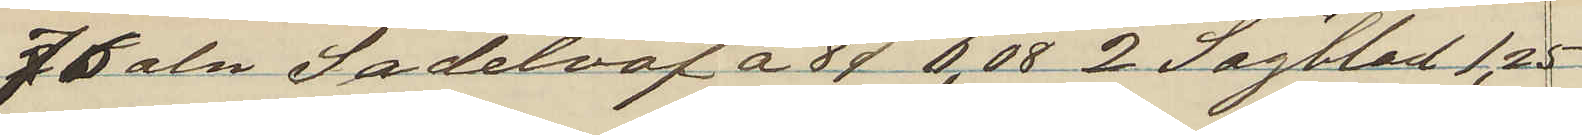76 aln Sadelväf a 8 o  6.08  2 Sågblad 1,25
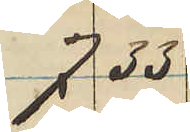7 33
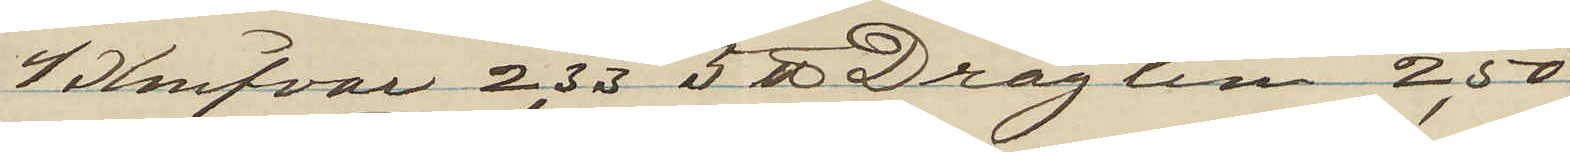4 Knifvar 2,33 5 ℔ Draglim 2,50
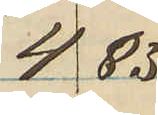4 83
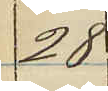28
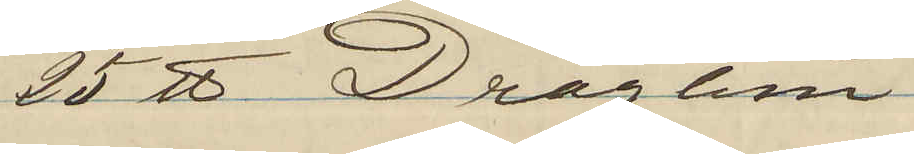25 ℔ Draglim
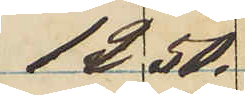12 50. 
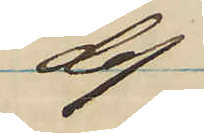do
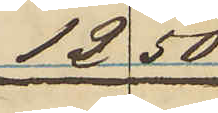12 50
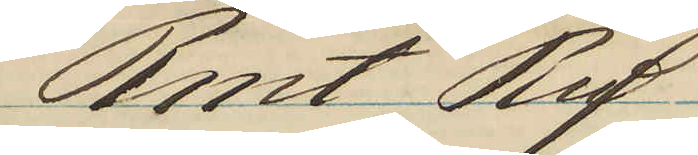Rmt Rd
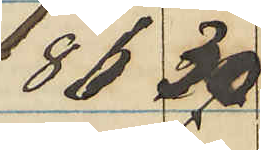86 30
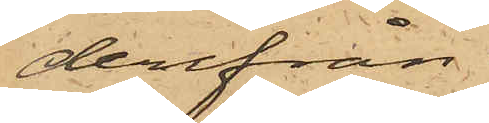derifrån
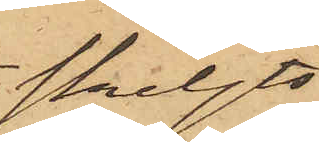skiljts
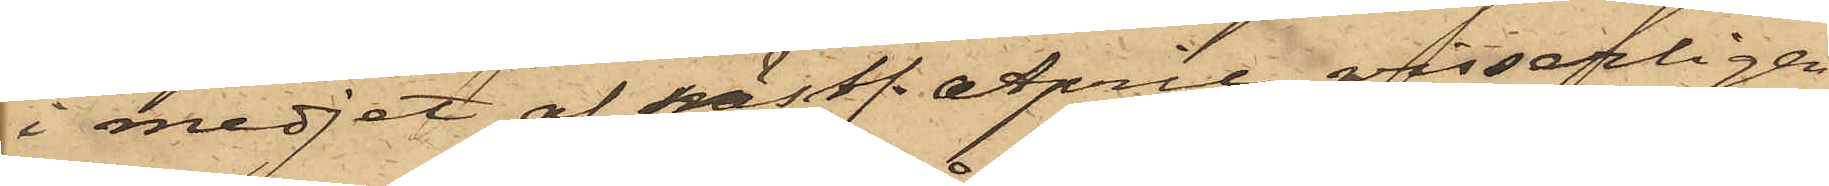i medjet af nästl. April, visserligen
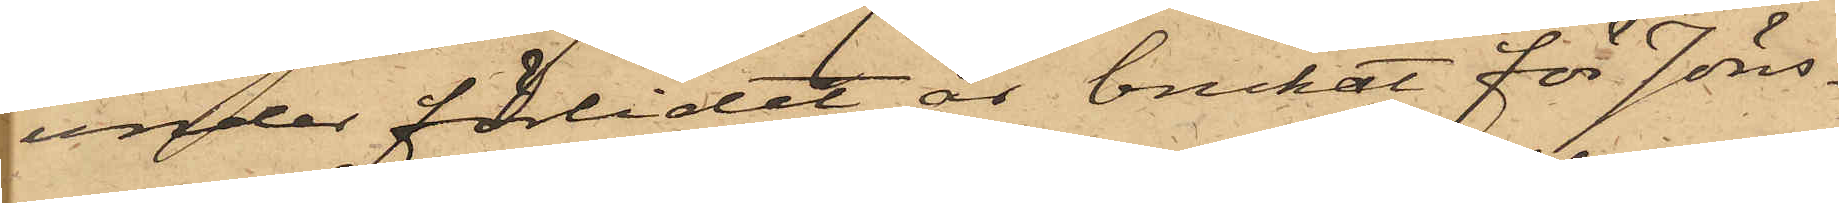under förlidet år brukat för Jöns¬
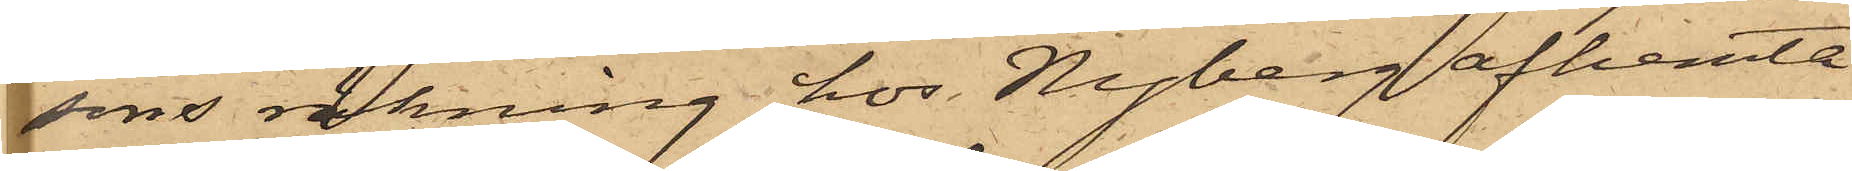sons räkning hos Nyberg afhemta
